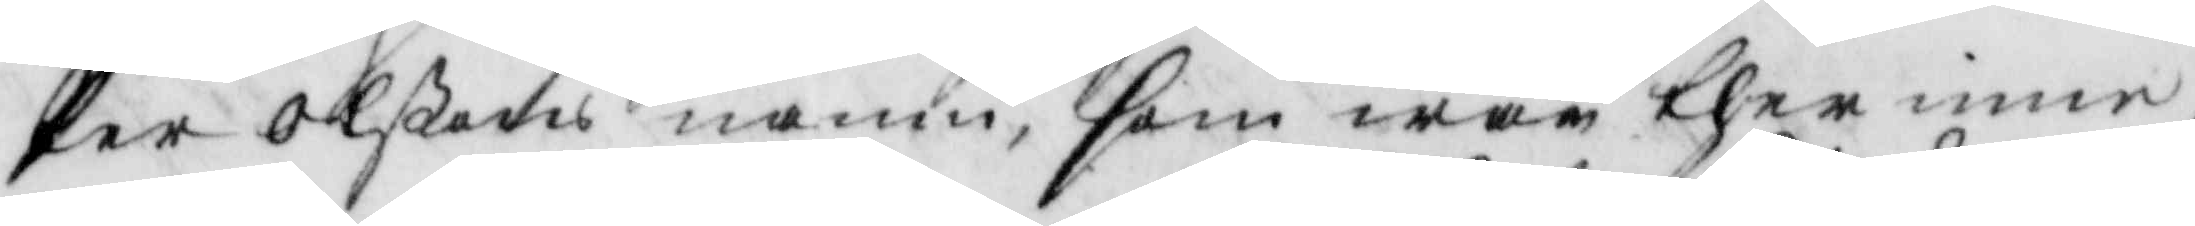Per Olßons namn, som war ther inne,
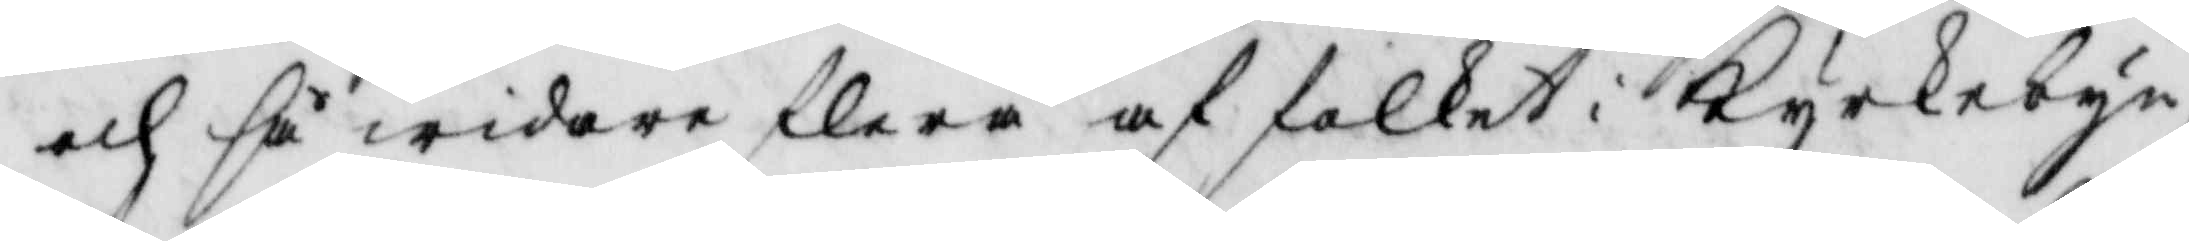och så widare flera af folket i kyrkebyn,
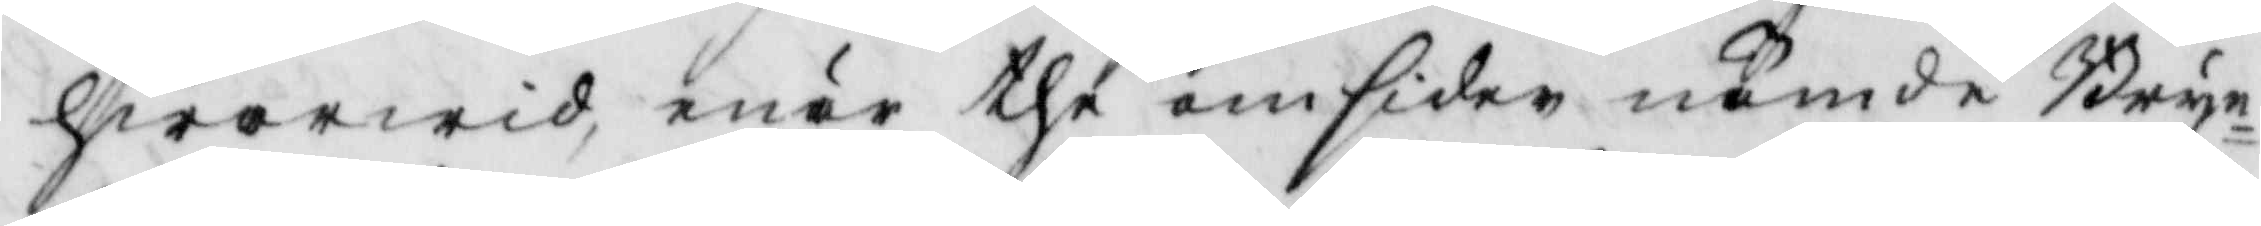hwarwid, när the omsider nämde Bryn¬
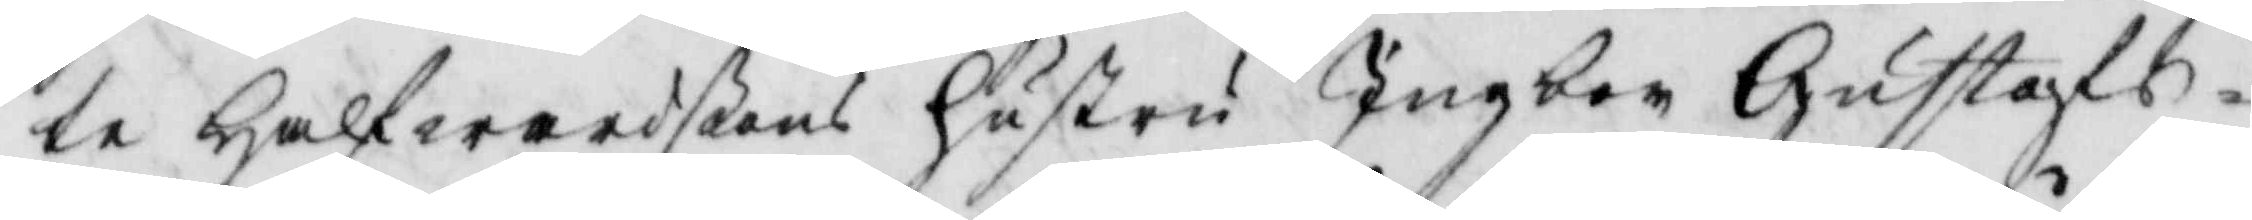te Halfwardßons hustru Ingbor Gustafs¬
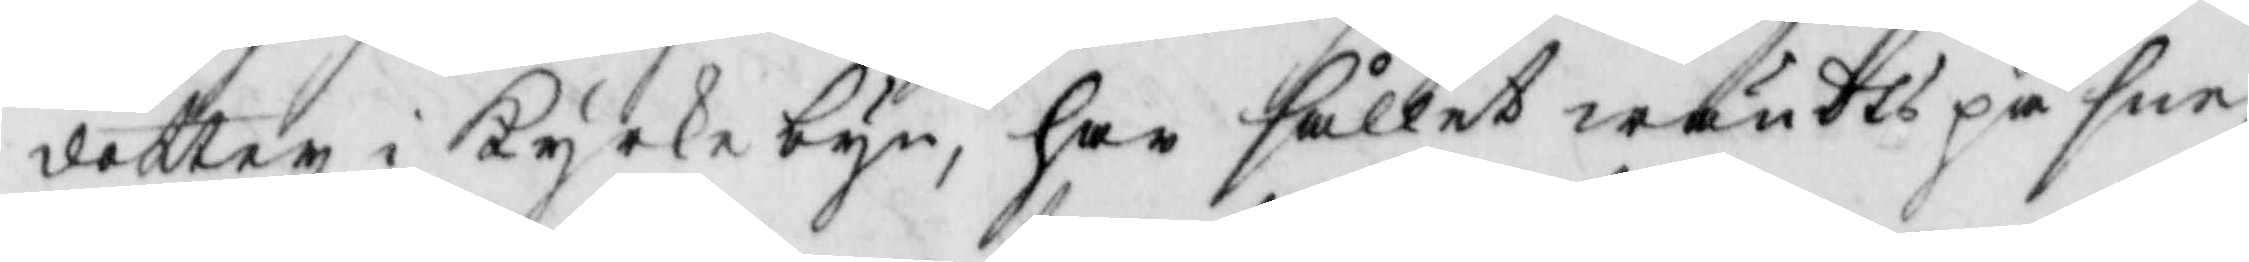dotter i Kyrkebyn, har sållet wändts på sne,
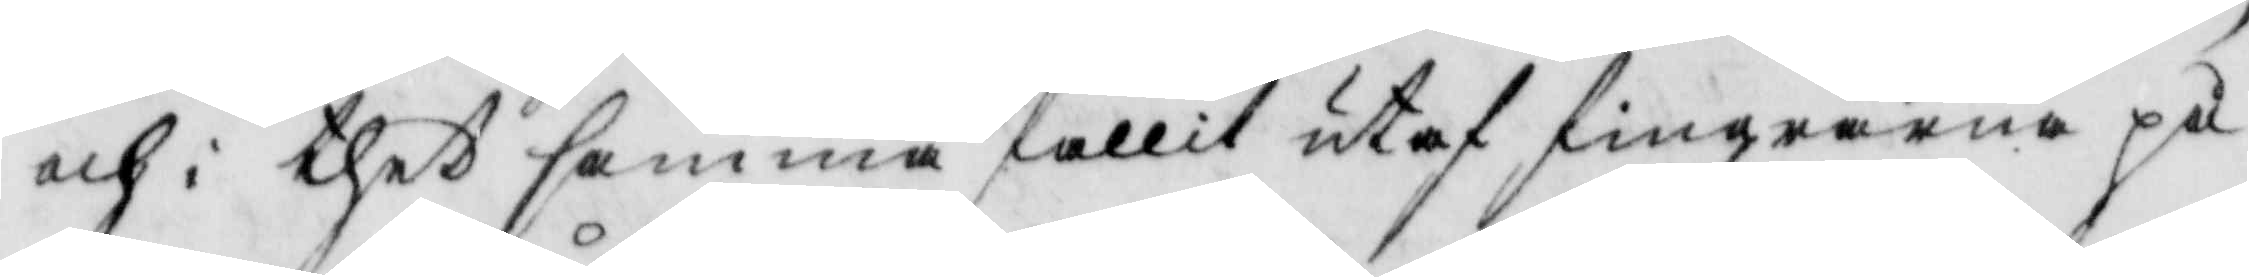och i thet samma fallit utaf fingrarna på
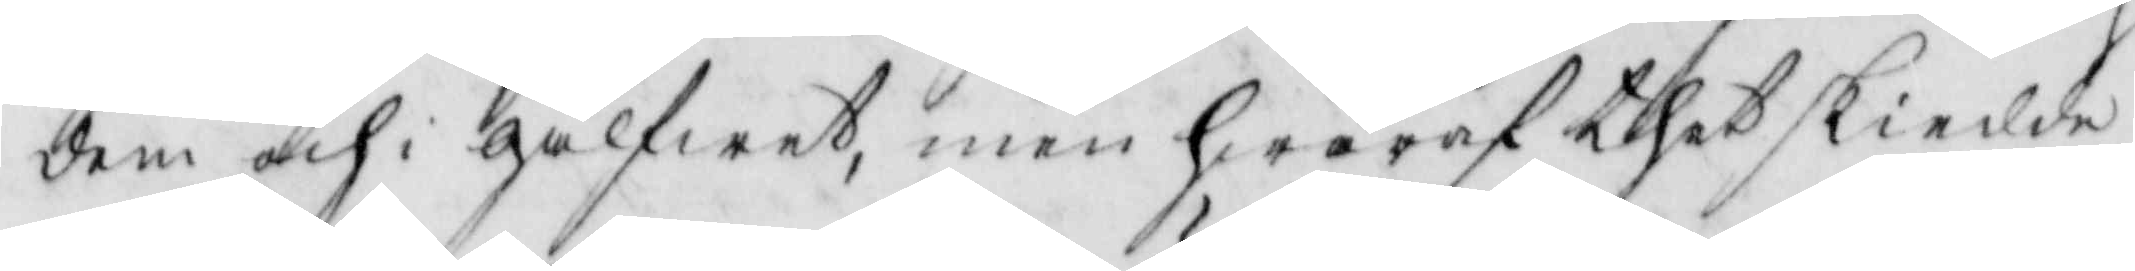dem och i glfet, men hwaraf thet skiedde
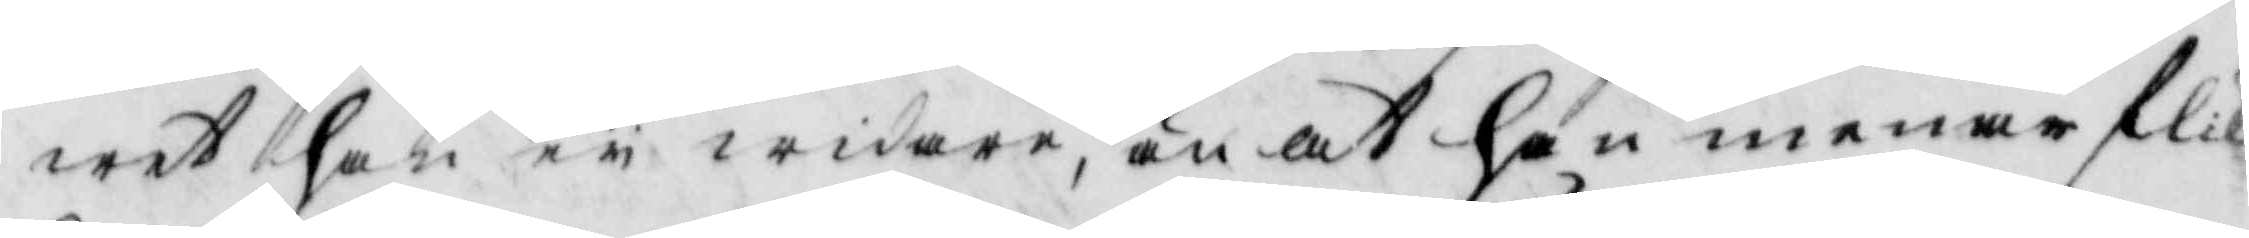wet han ey widare, än at han menar flik¬
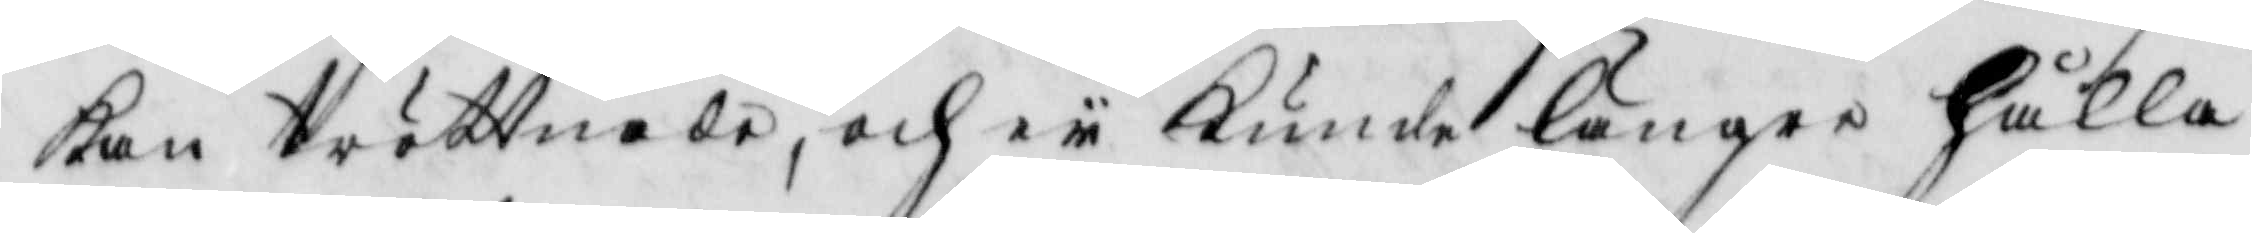kan tröttnade, och ey kunde längre hålla
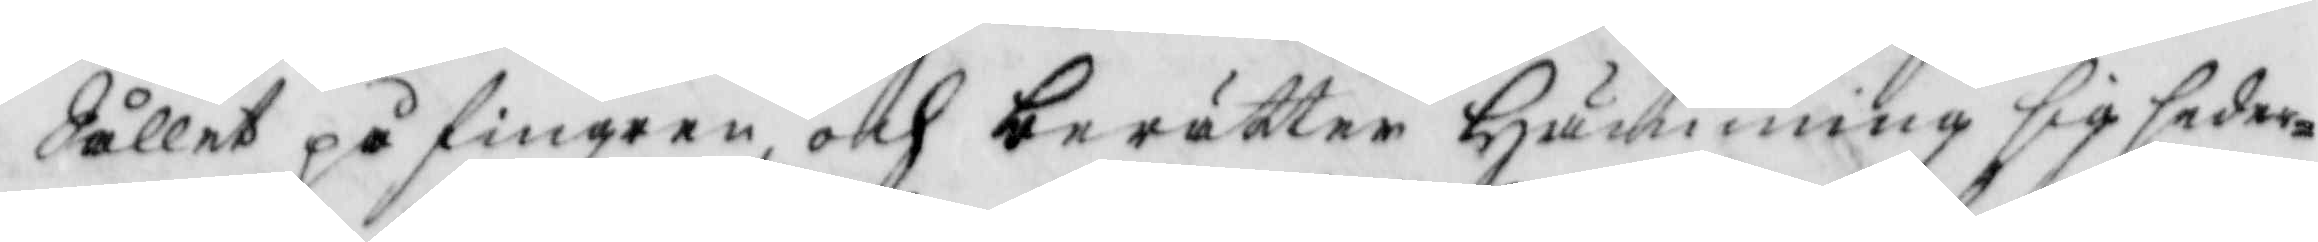Sållet på fingren och berättar Hämming sig seder¬
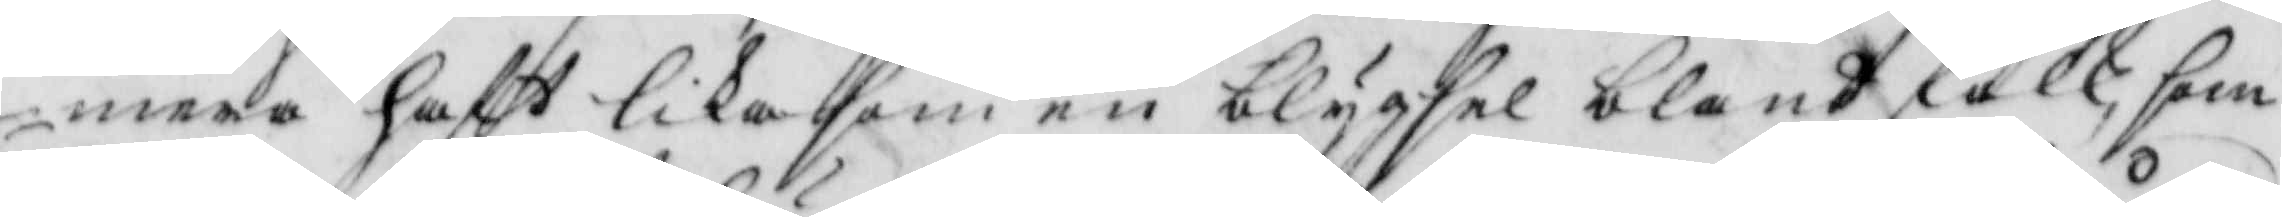mera haft lika som en blygsel bland folk, som
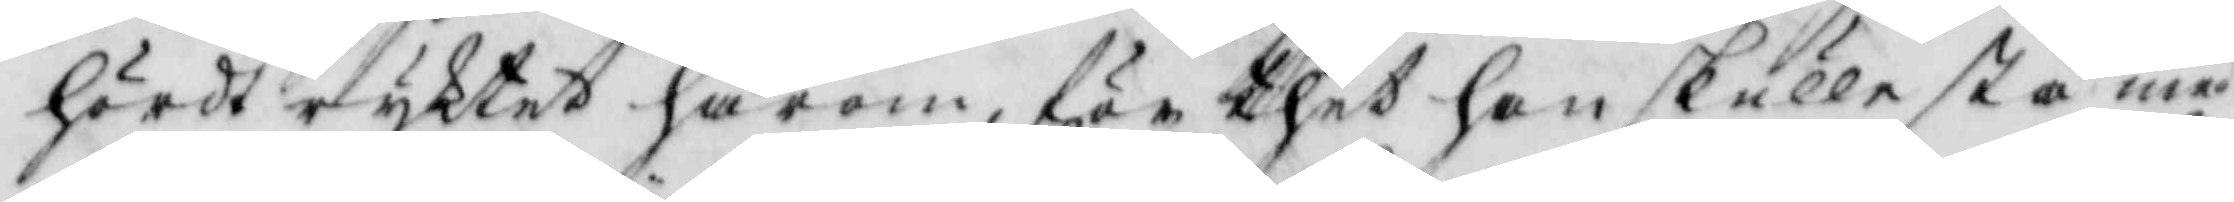hördt ryktet härom för thet han skulle stå med
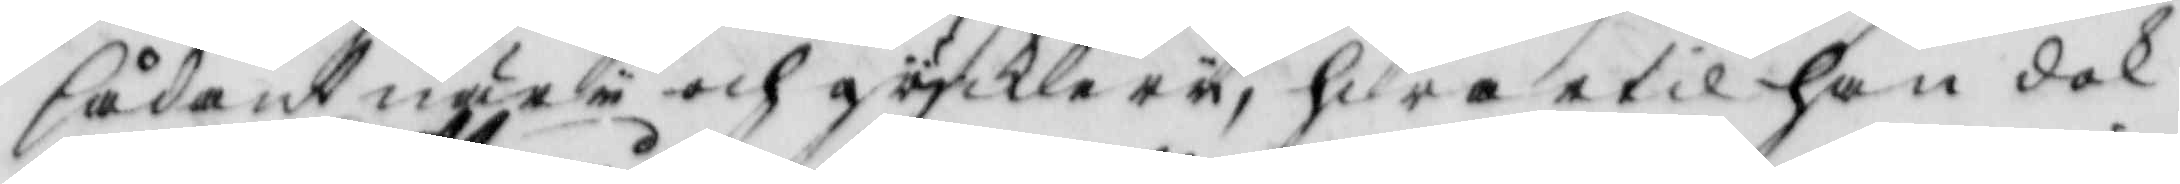sådant narii och gycklerii, hwartil han dok
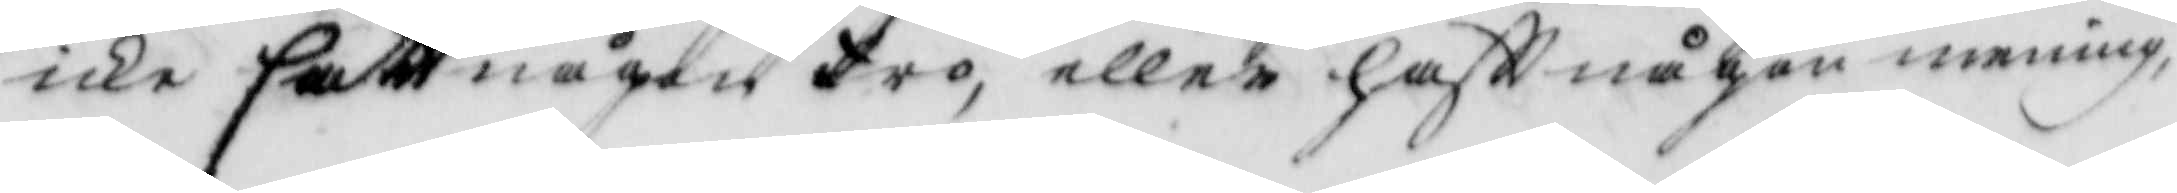icke satt någon tro, eller haftt någon mening
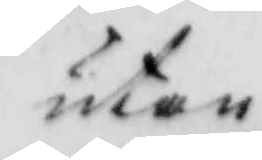utan
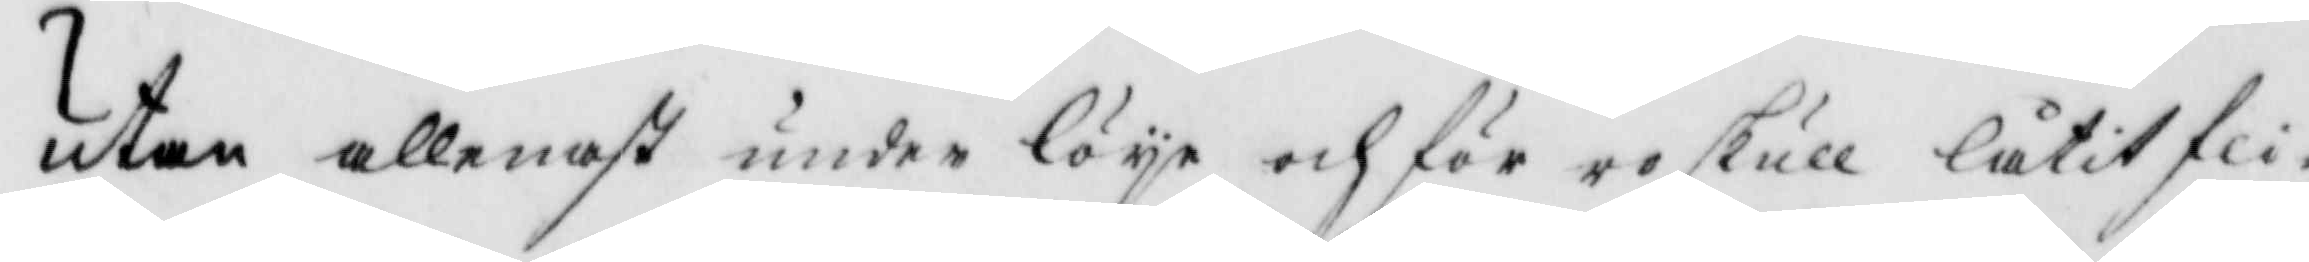utan allenast under löje och för ro skull låtit fli¬
